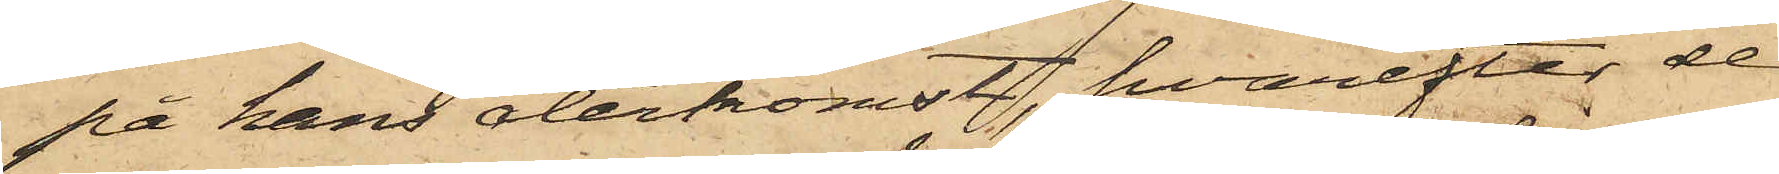på hans återkomst, hvarefter de
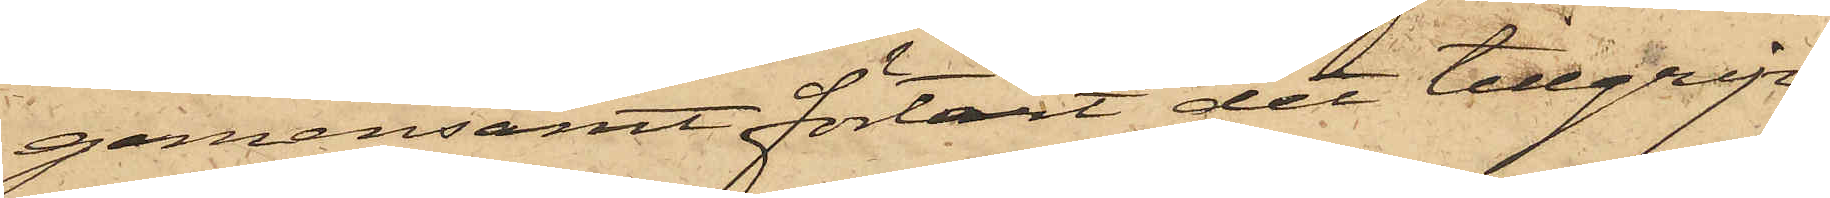gemensamt förtärt det tillgrip¬
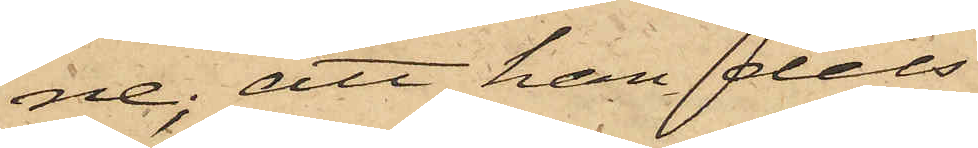ne; att han dels
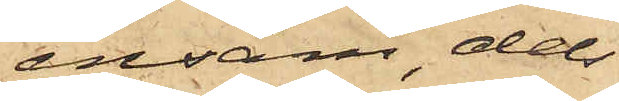ensam, dels
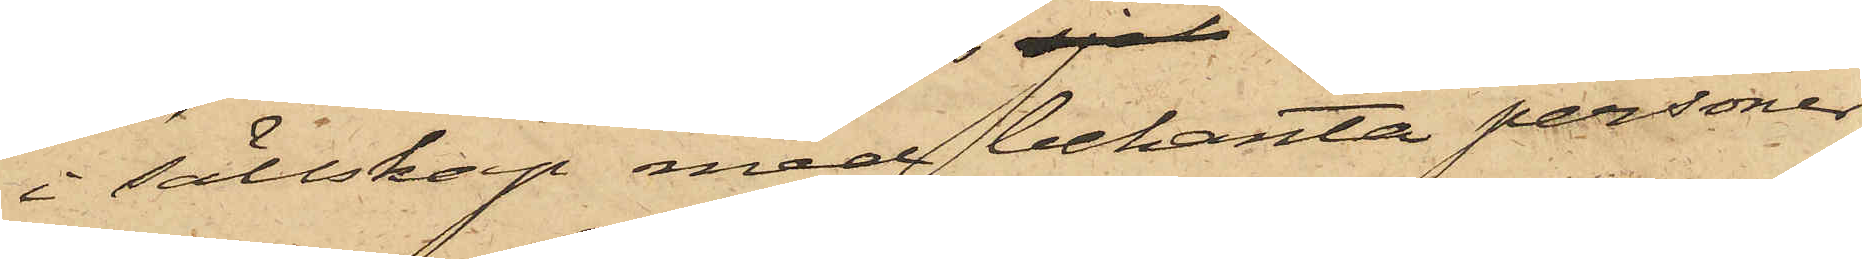i sällskap med bekanta personer
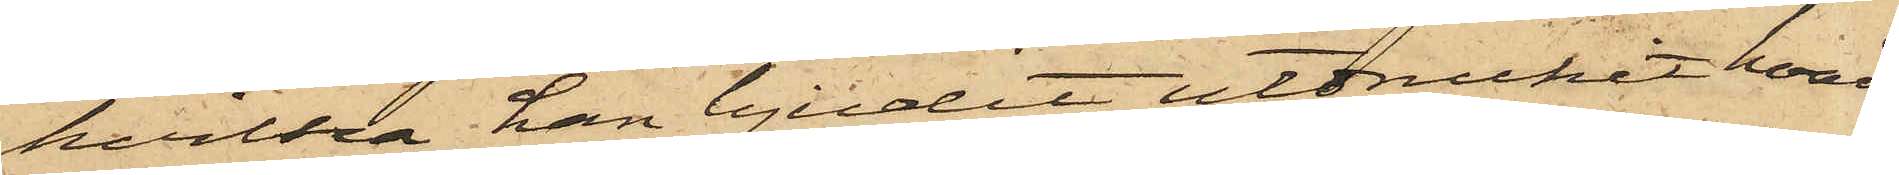hvilka han bjudit, utdruckit hvad
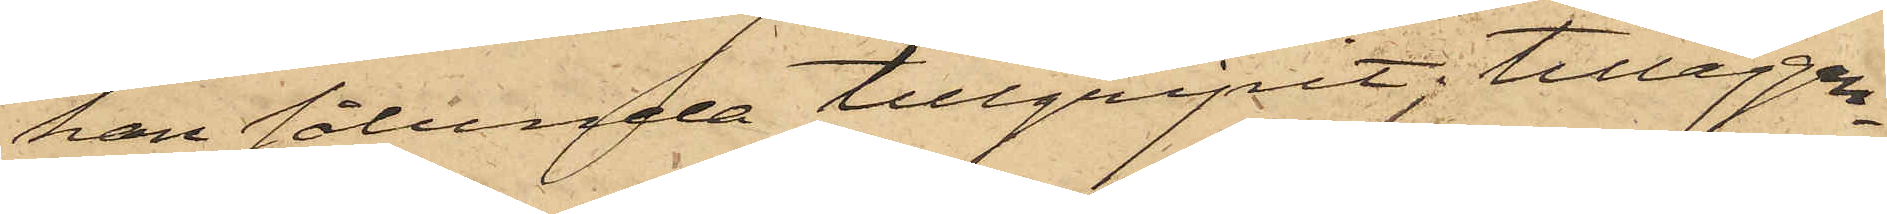han sålunda tillgripit; tilläggan¬
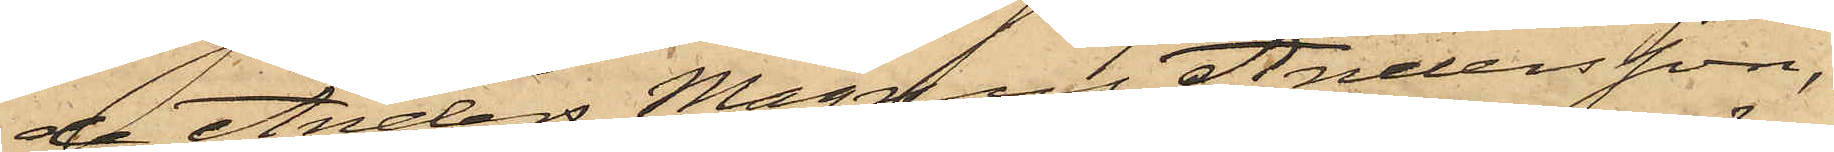de Anders Magnus Andersson,
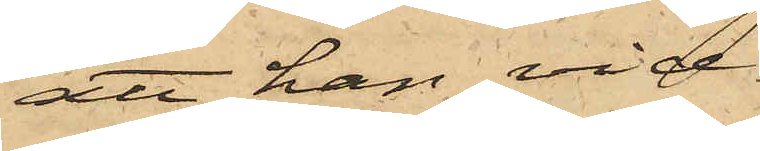att han vid
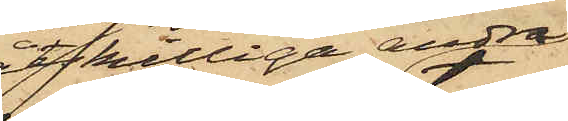åtskilliga andra
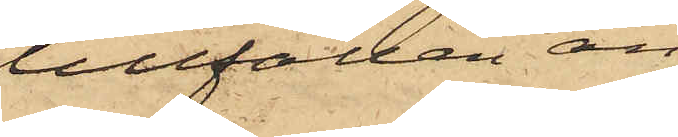tillfällen än
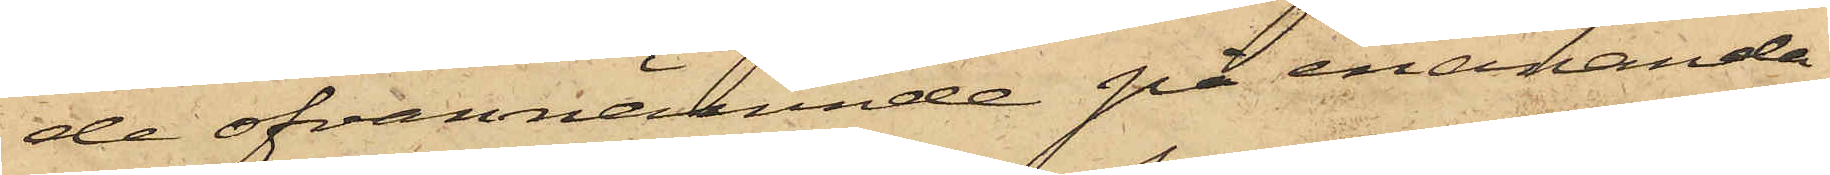de ofvannämnde på enahanda
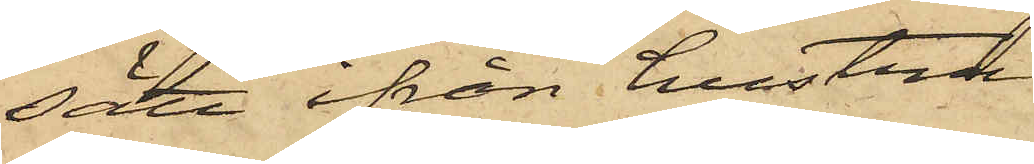sätt ifrån hustrun
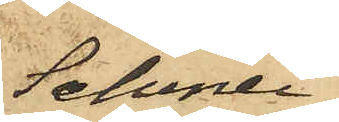Schmei¬
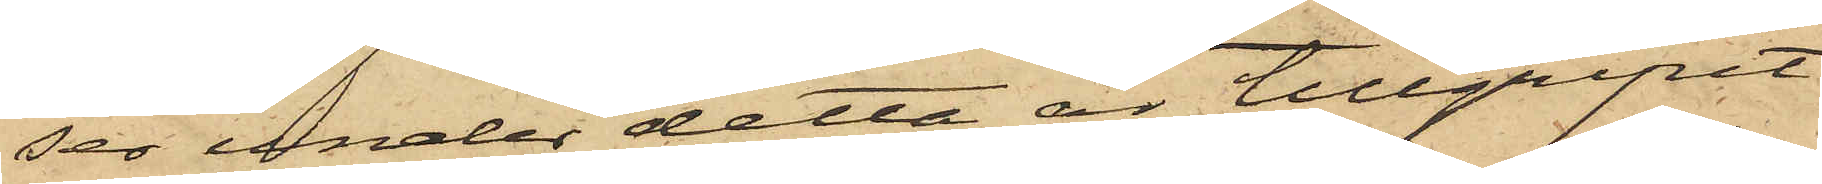ser under detta år tillgripit
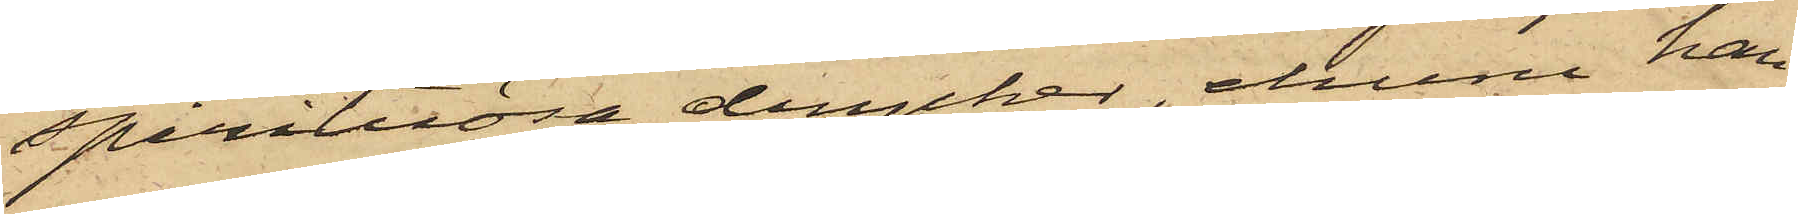spirituösa drycker, ehuru han
